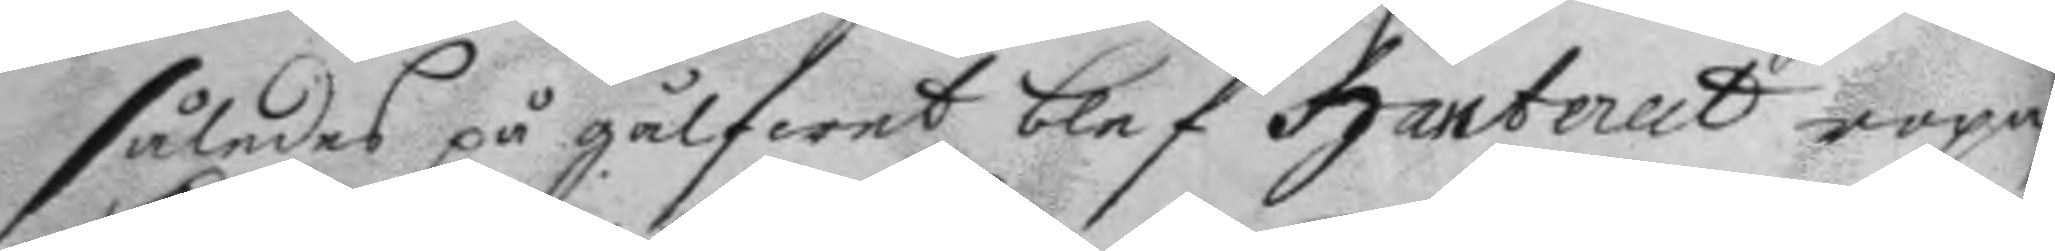således på gålfwet blef hanterat ropa,
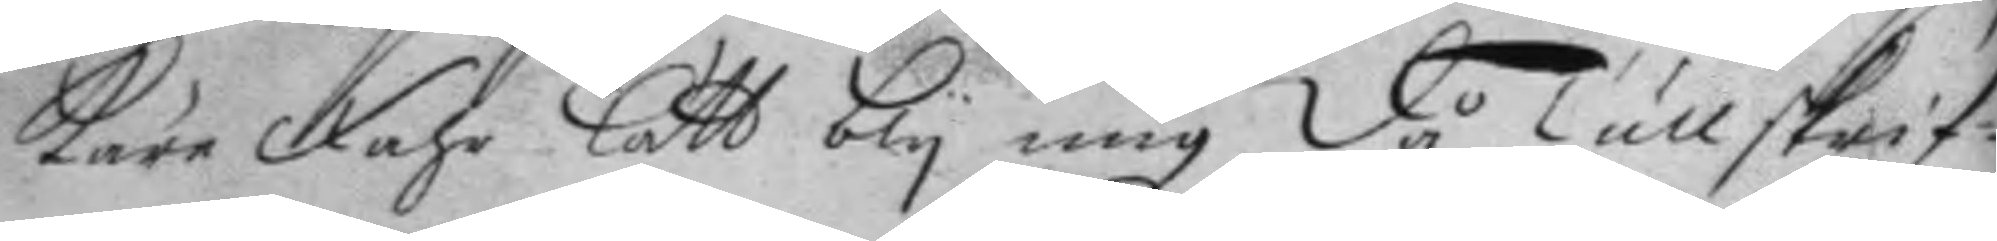käre Fahr lått bly mig, då tullskrif¬
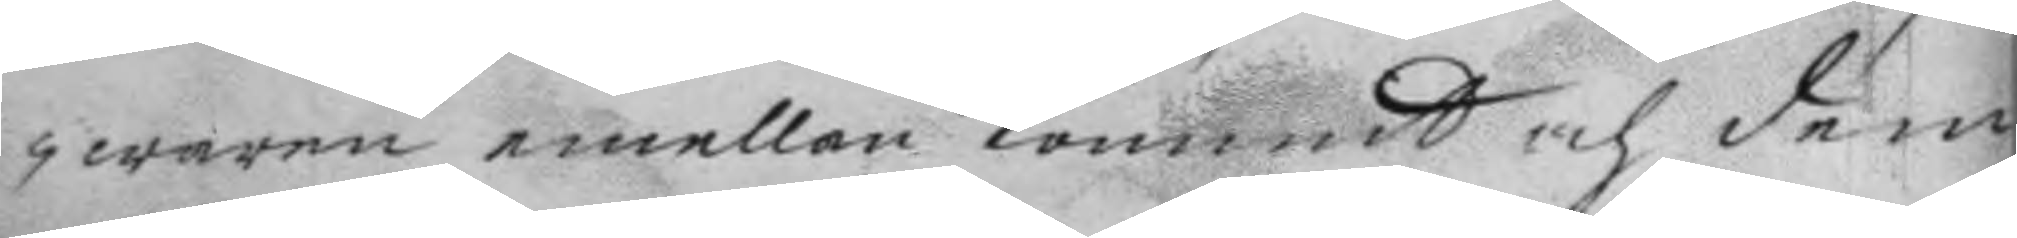waren emellan kommit och dem
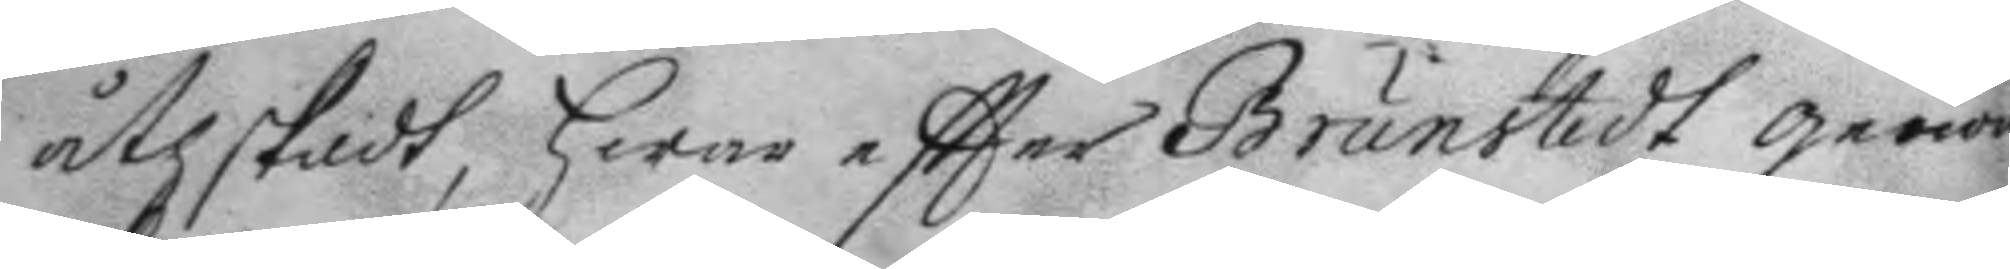åthskildt, hwar eftter Brunstedt genom
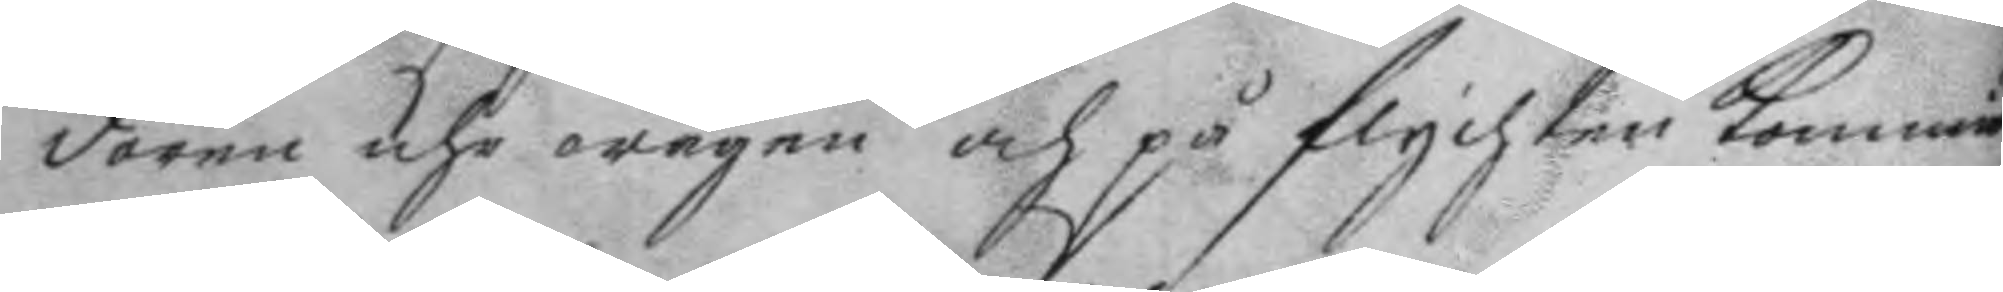dören uhr wägen och på flychten kommit,
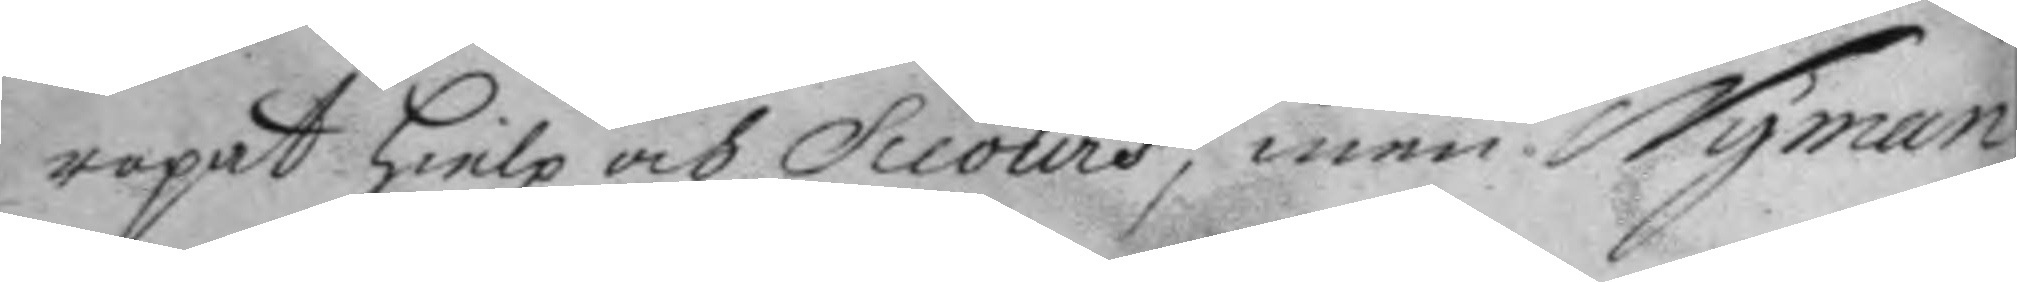ropat hielp och Sceours, men Nyman
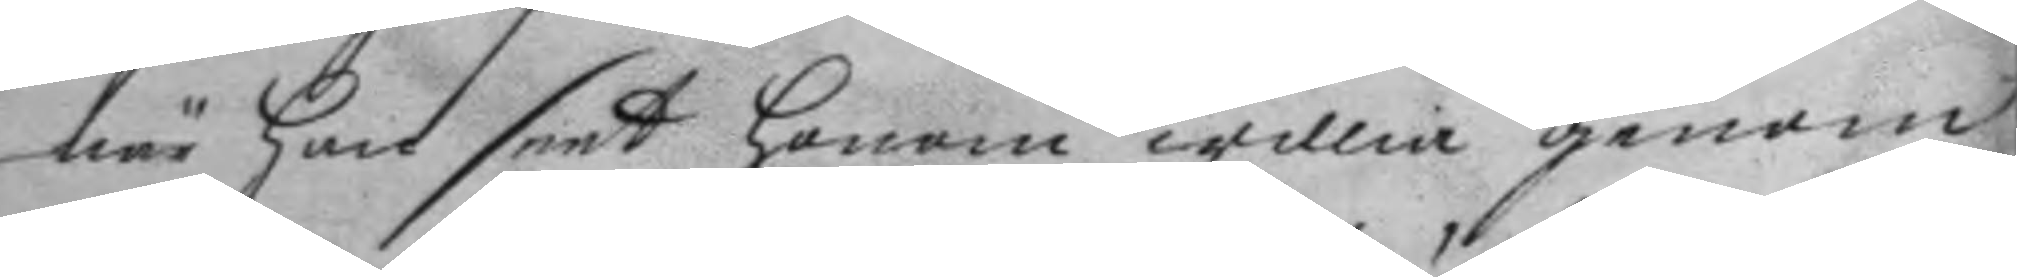när han seet honom willia genom
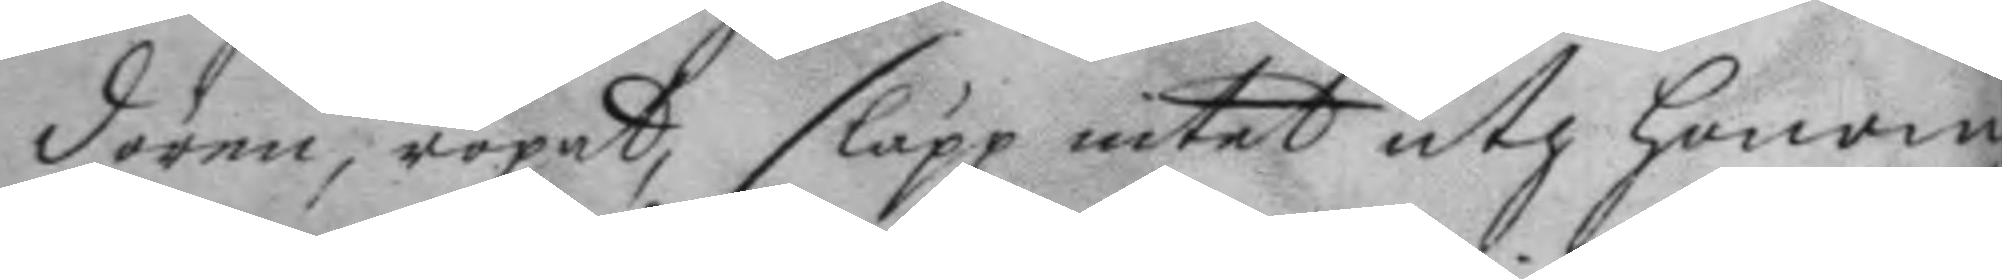dören, ropat, släpp intet uth honom,
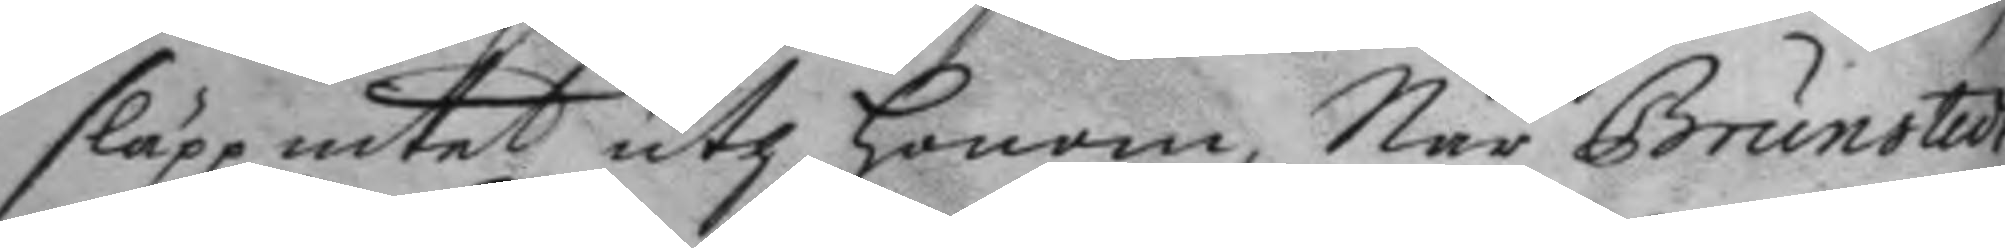släpp intet uth honom, När Brunstedt
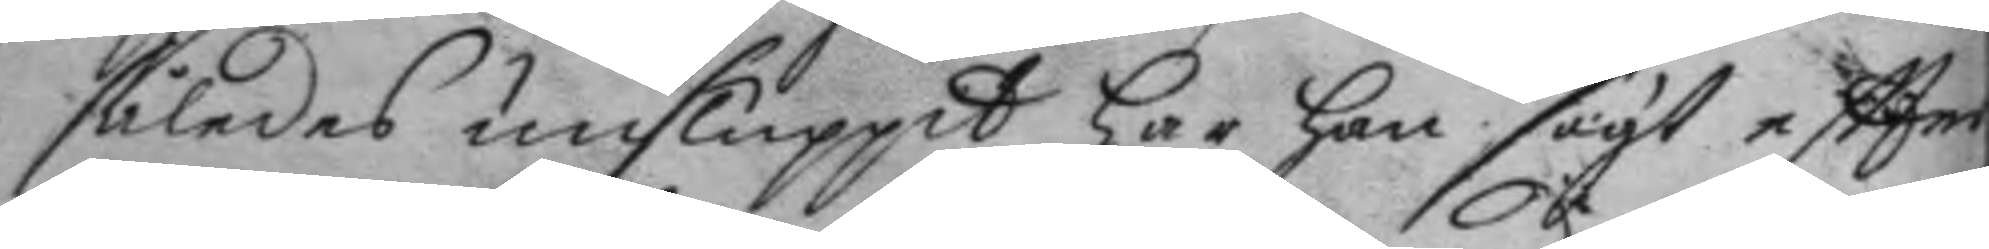således unsluppit har han sagt eftter
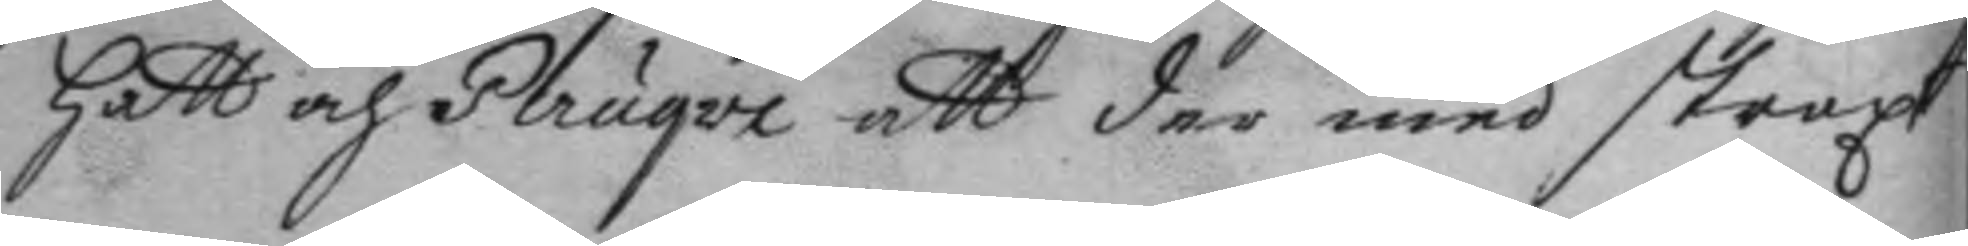hatt och Peruqve att der med straxt
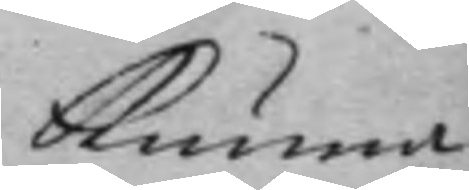kunna
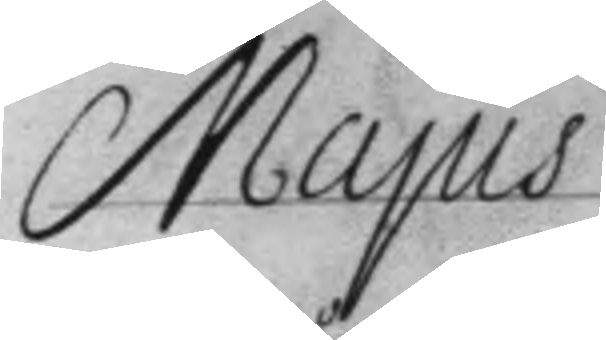Majús
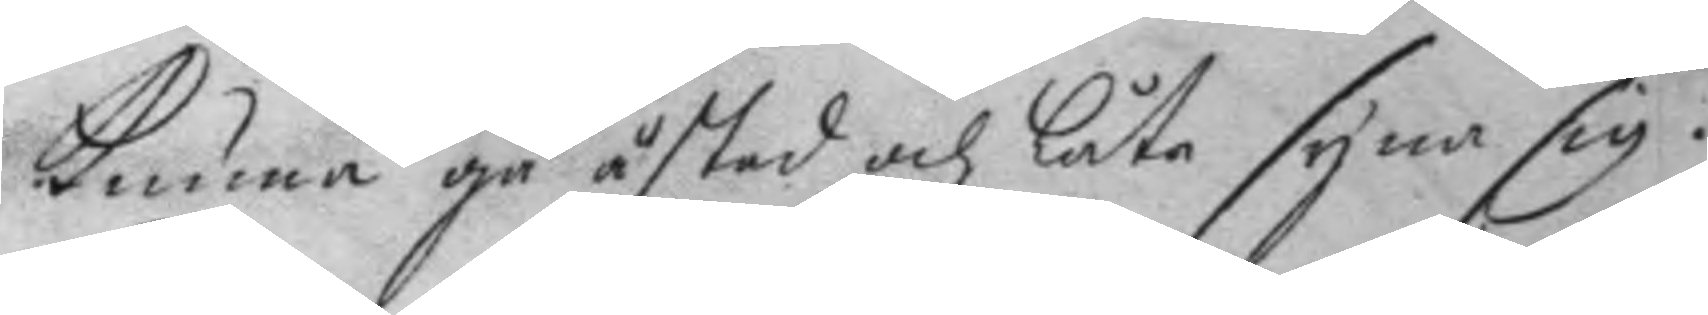kunna gå åstad och låta syna sig.
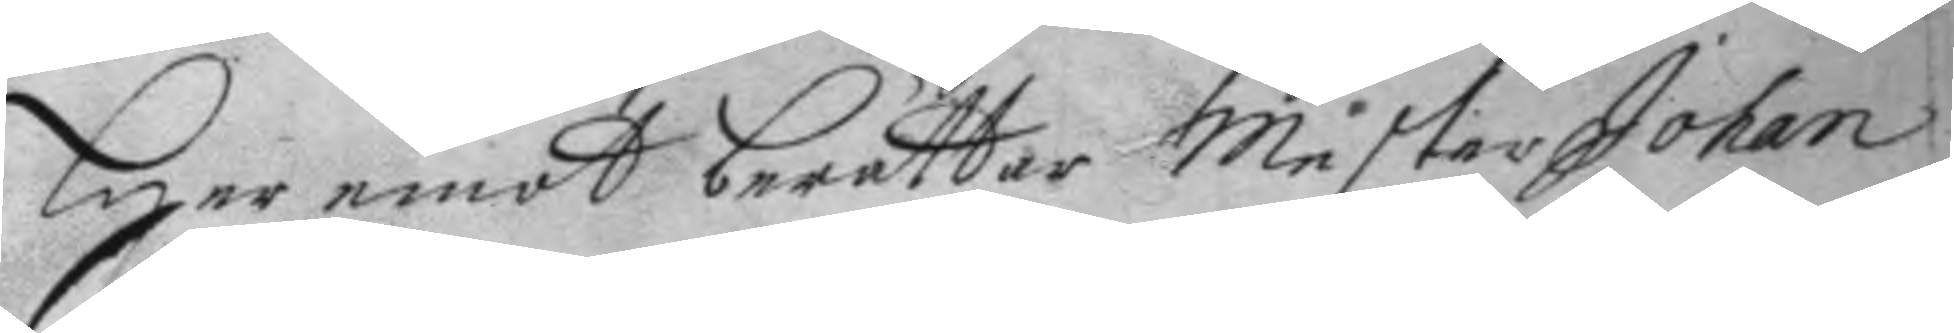Her emot berättar Mäster Johan
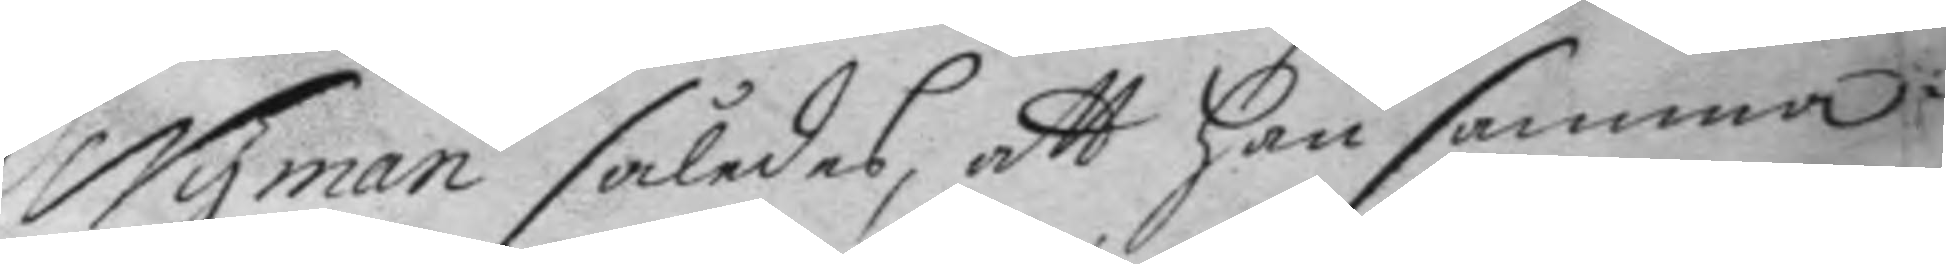Nyman således, att han samma
